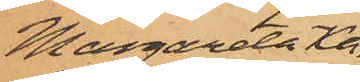Margareta Ka¬
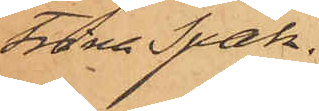trina Spak.
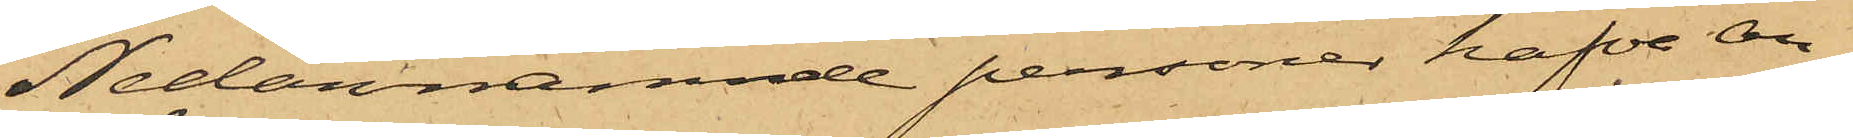Nedannämnde personer hafva an¬
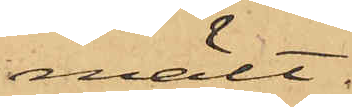mält:
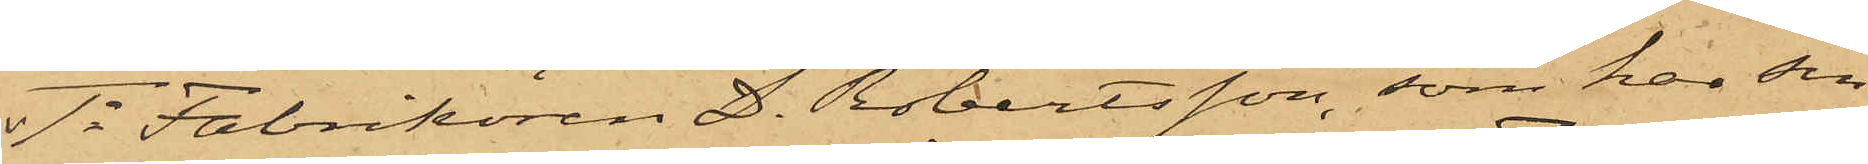1o Fabrikören D. Robertsson, som har sin
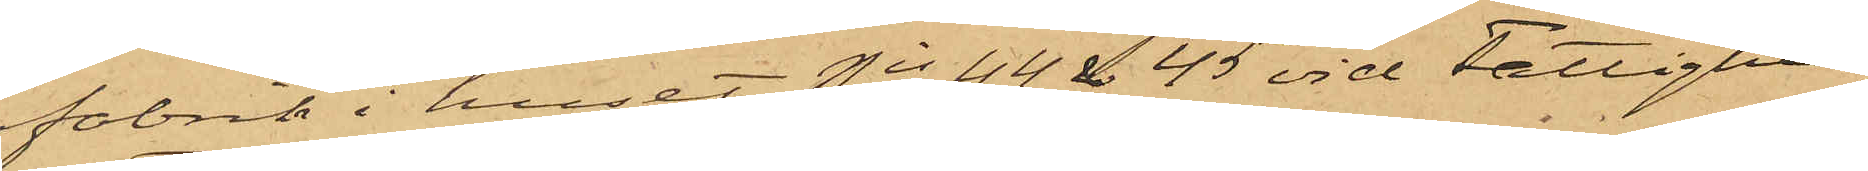fabrik i huset Nis 44 & 45 vid Fattighus¬
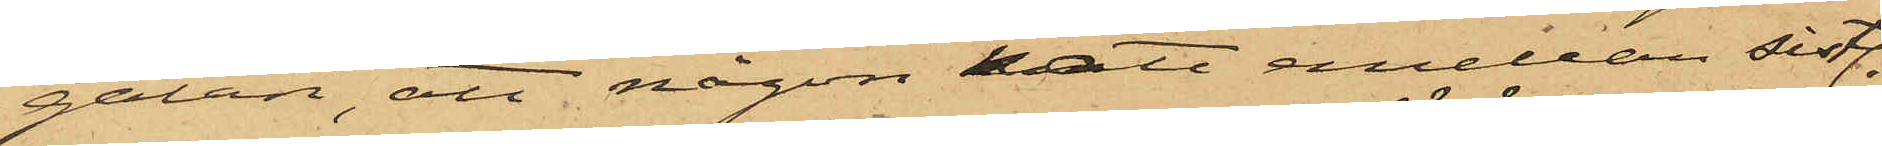gatan, att någon natt emellan sistl.
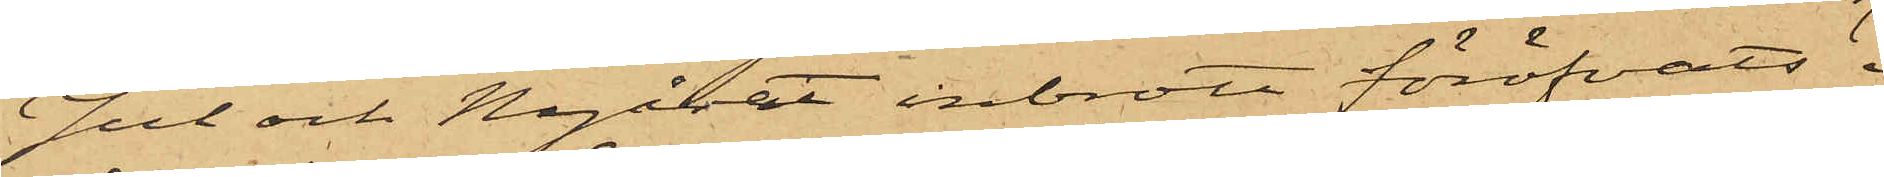Jul och Nyåret inbrott föröfvats i
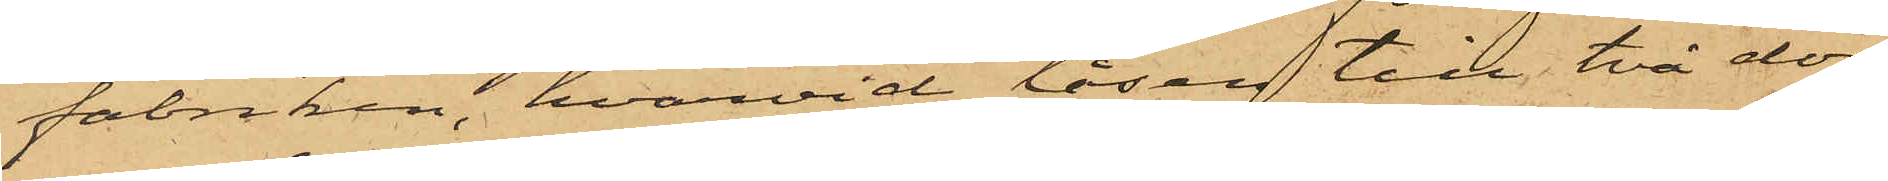fabriken, hvarvid låsen till två dör¬
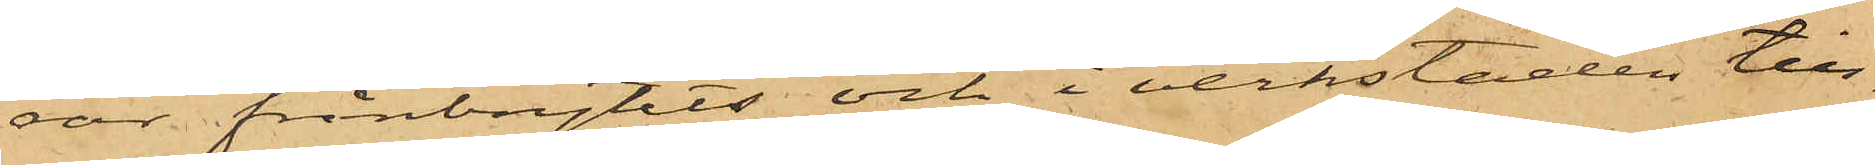rar frånbrytits och i verkstaden till¬
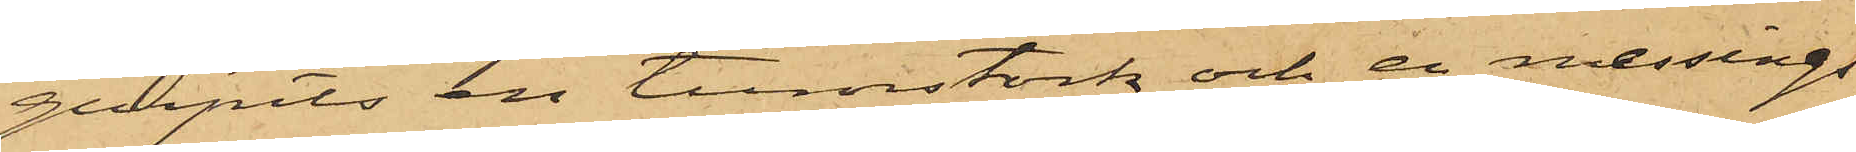gripits en tumstock och en messings¬
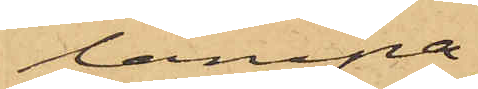lampa;
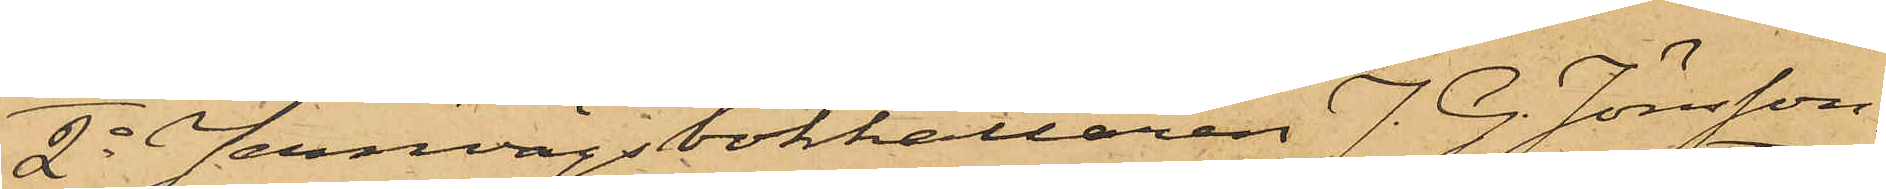2o Jernvägsbokhållaren J. G. Jönsson,
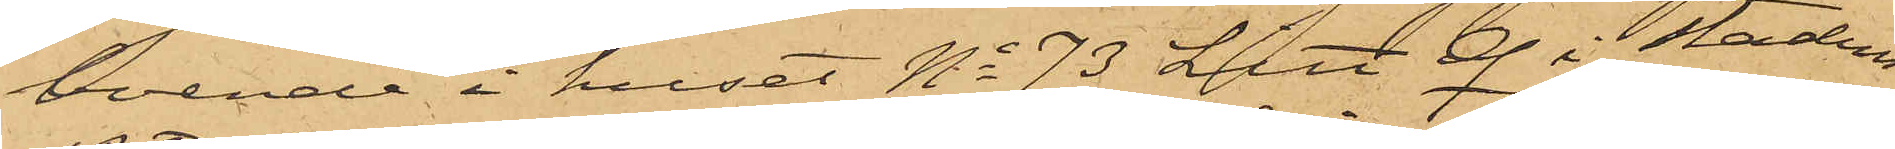boende i huset No 73 Litt Q i Stadens
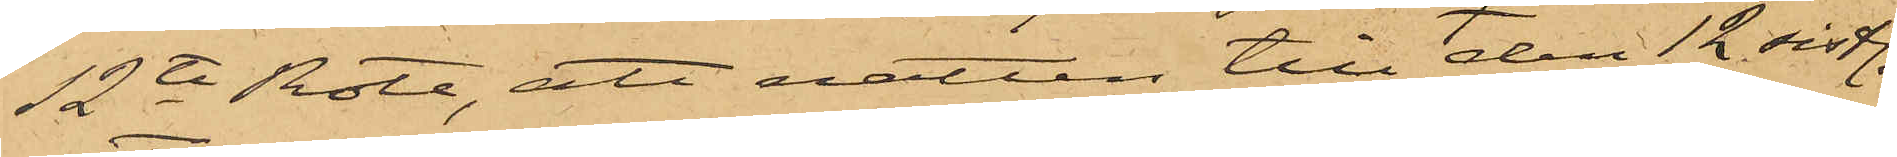12te Rote, att natten till den 12 sistl.
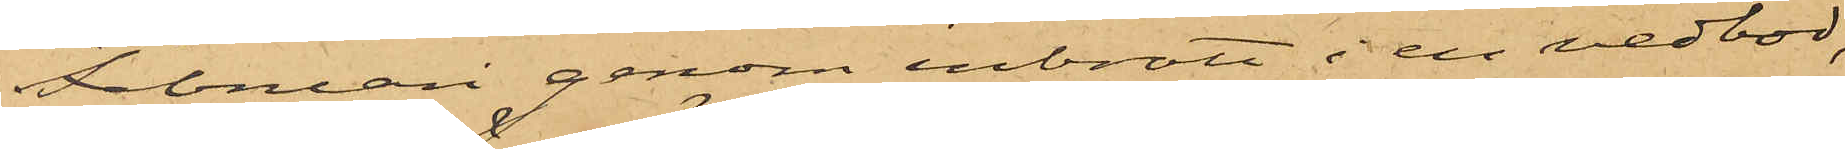Februari genom inbrott i en vedbod,
